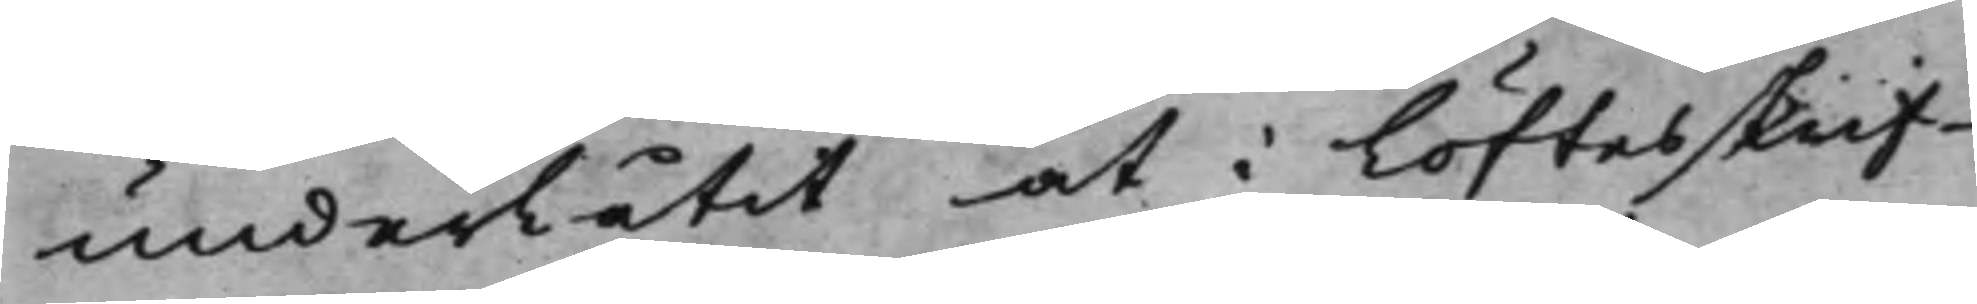underlåtit at i Löftesskrif¬
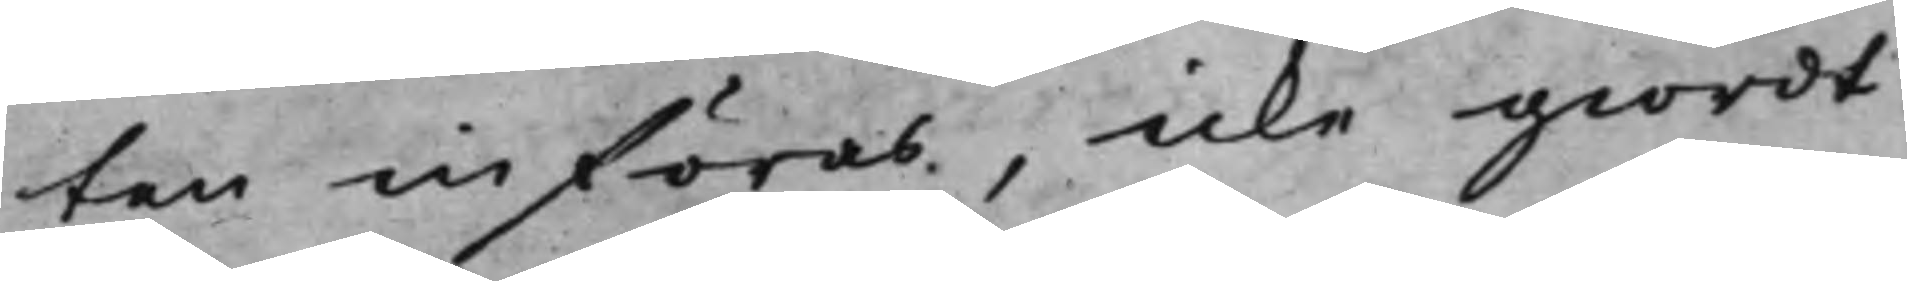ten införas, icke giordt
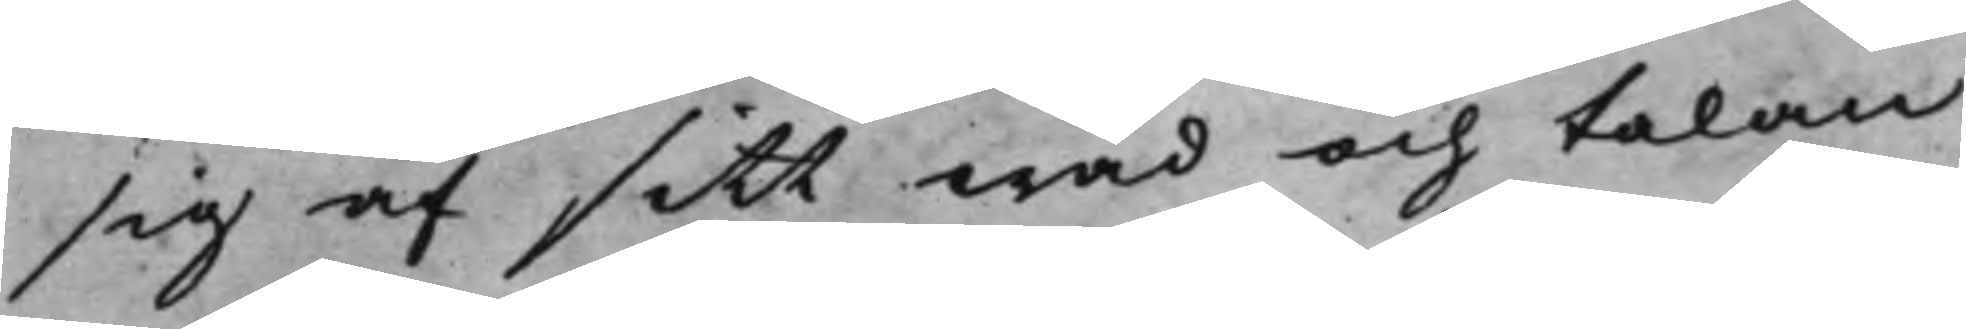sig af sitt wad och talan
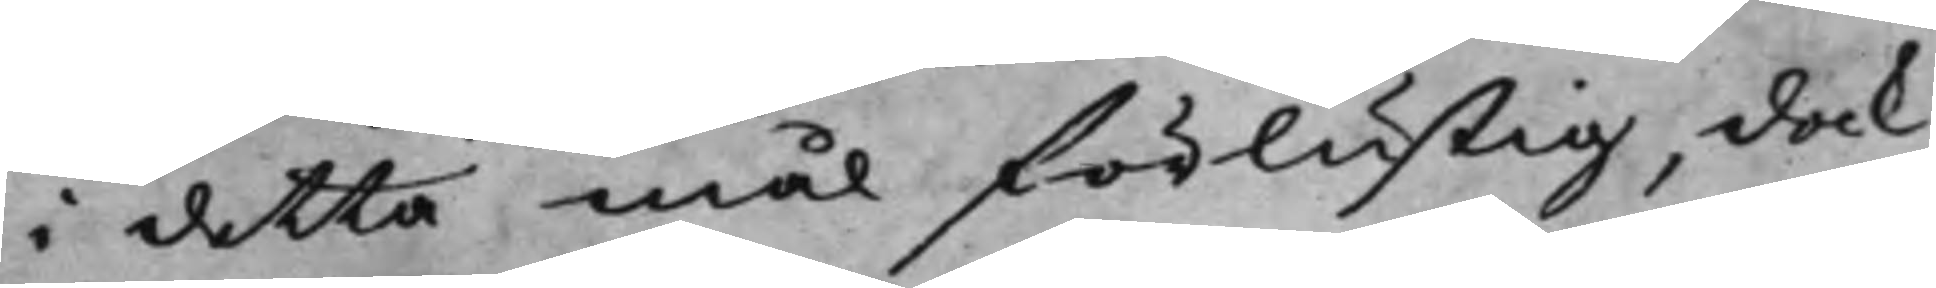i detta mål förlustig, dock
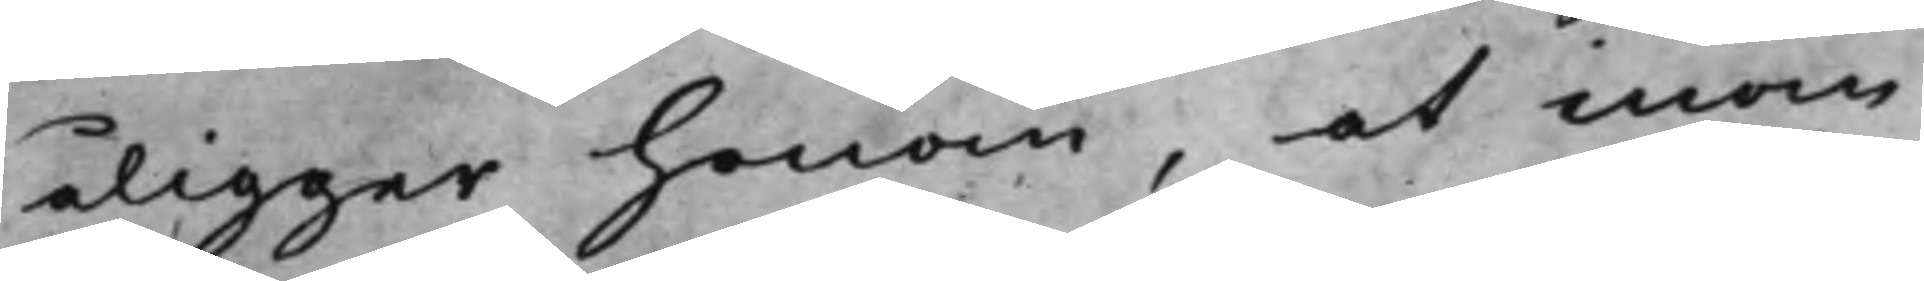åligger honom, at inom
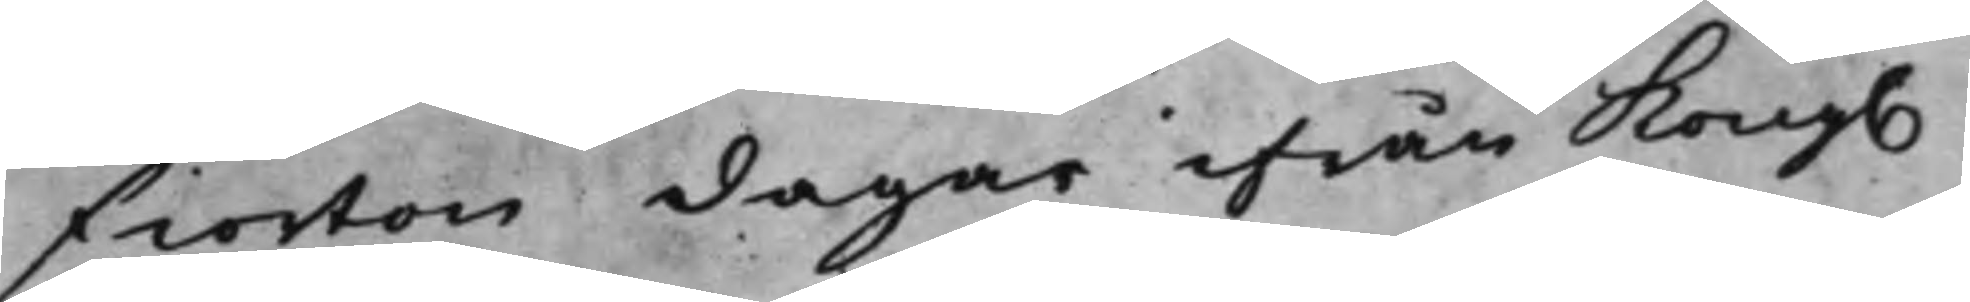fiorton dagar ifrån Kong.
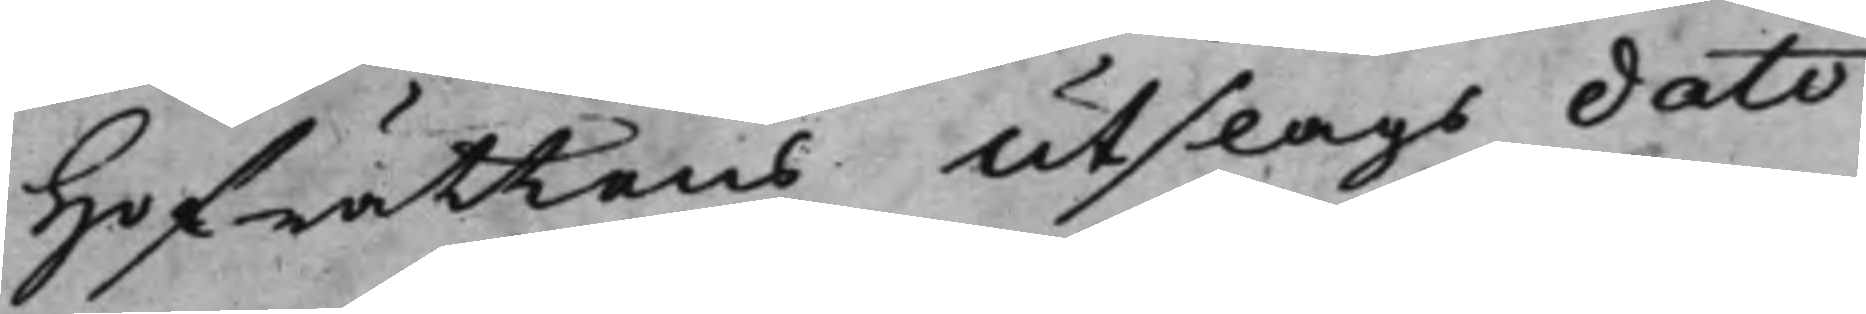Hofrättens utslags dato
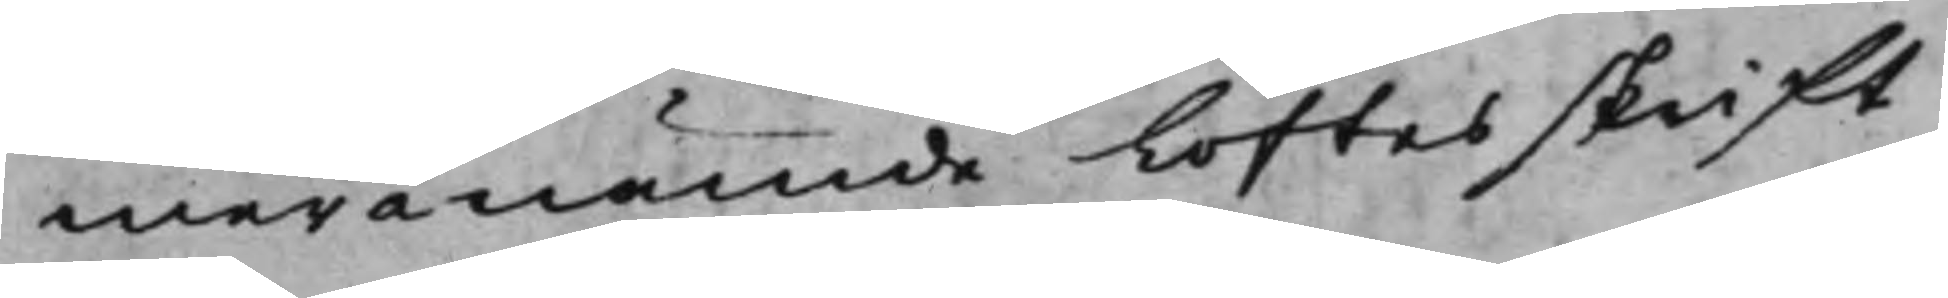meranämde Löftesskrift
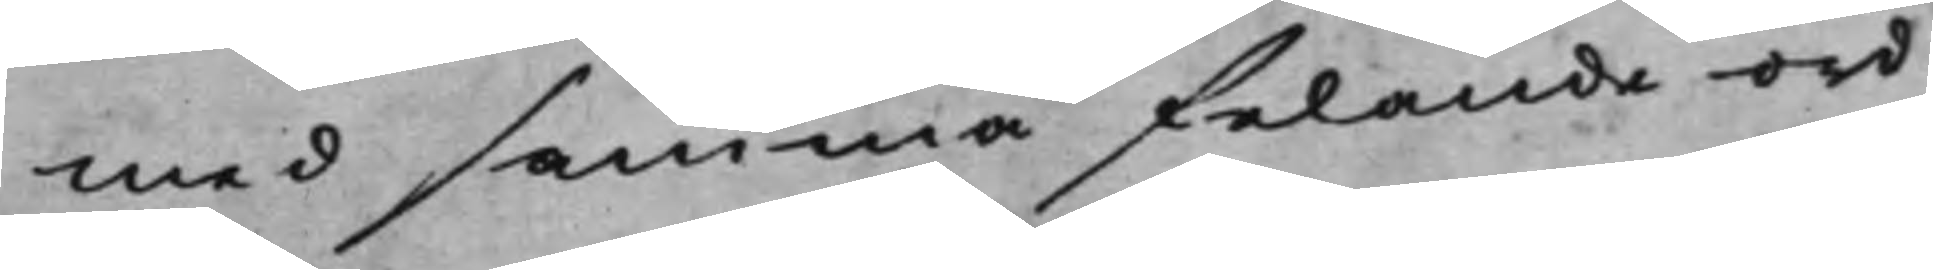med samma felande ord
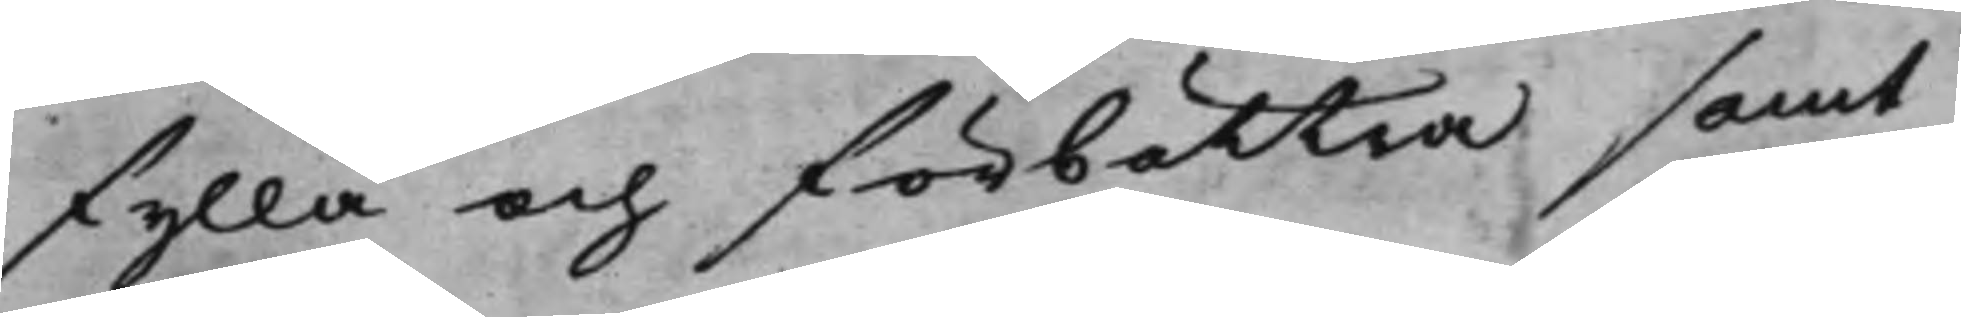fylla och förbättra samt
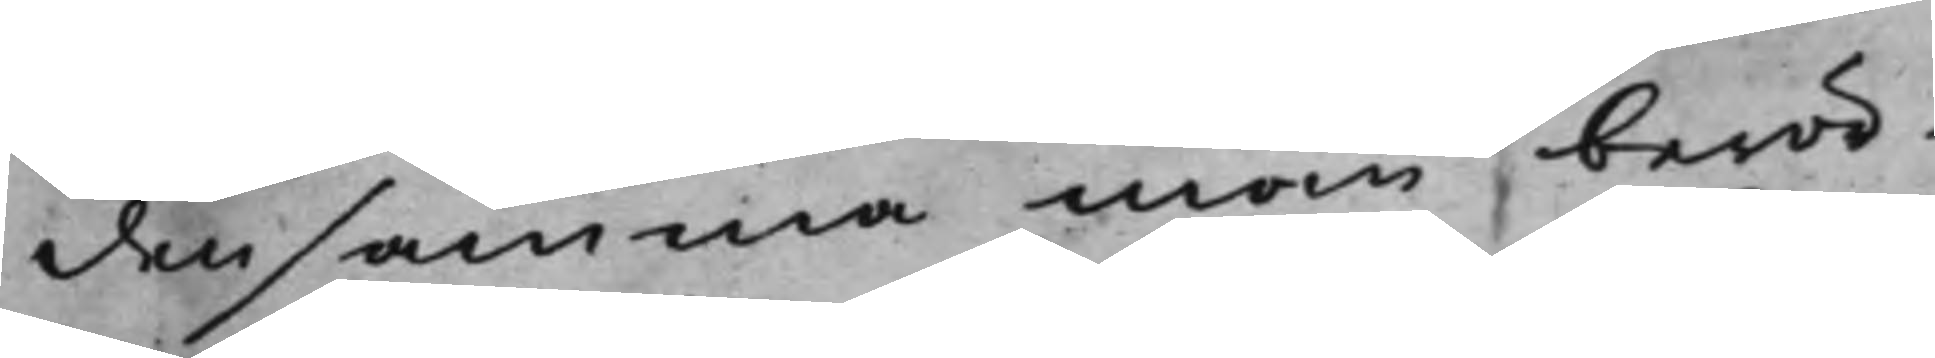densamma inom berör¬
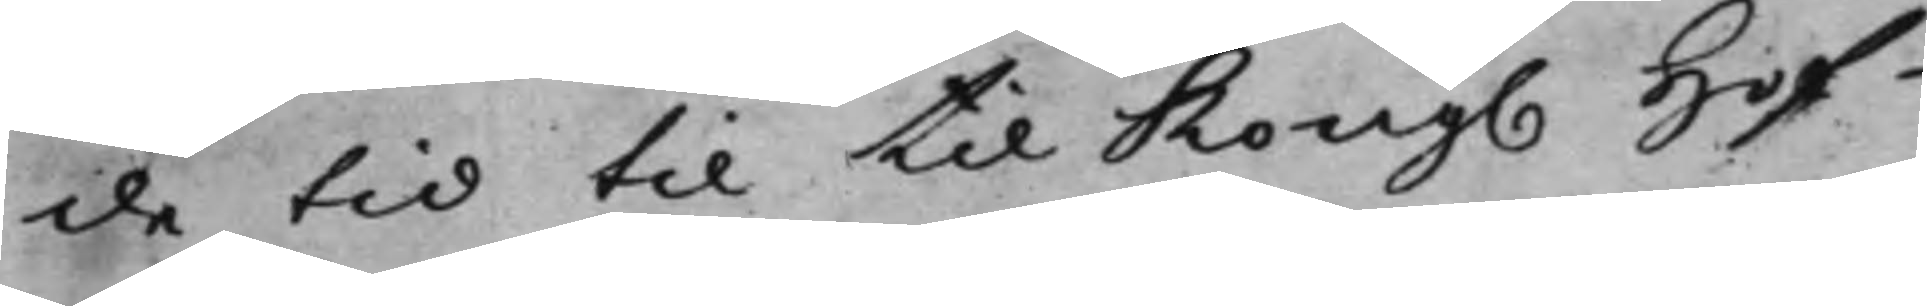de tid til til Kong. Hof¬
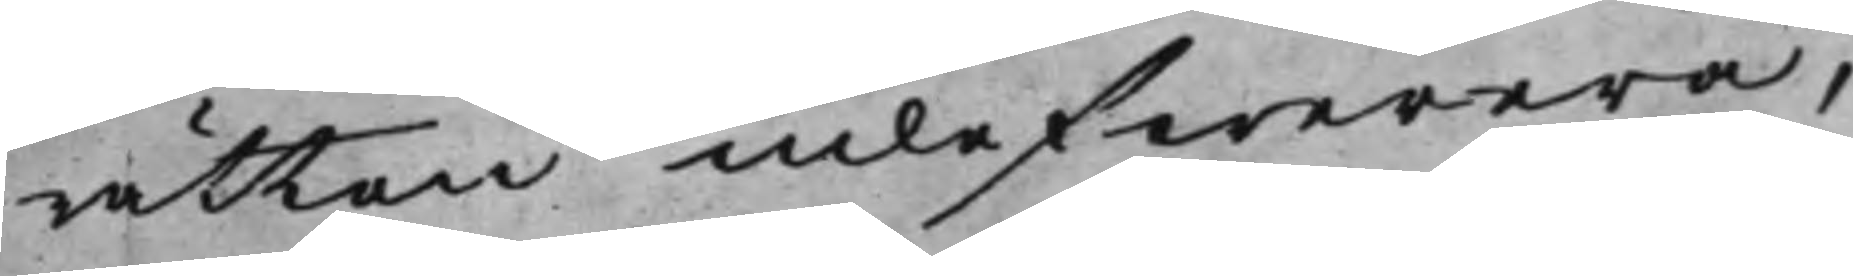rätten inlefwerera,
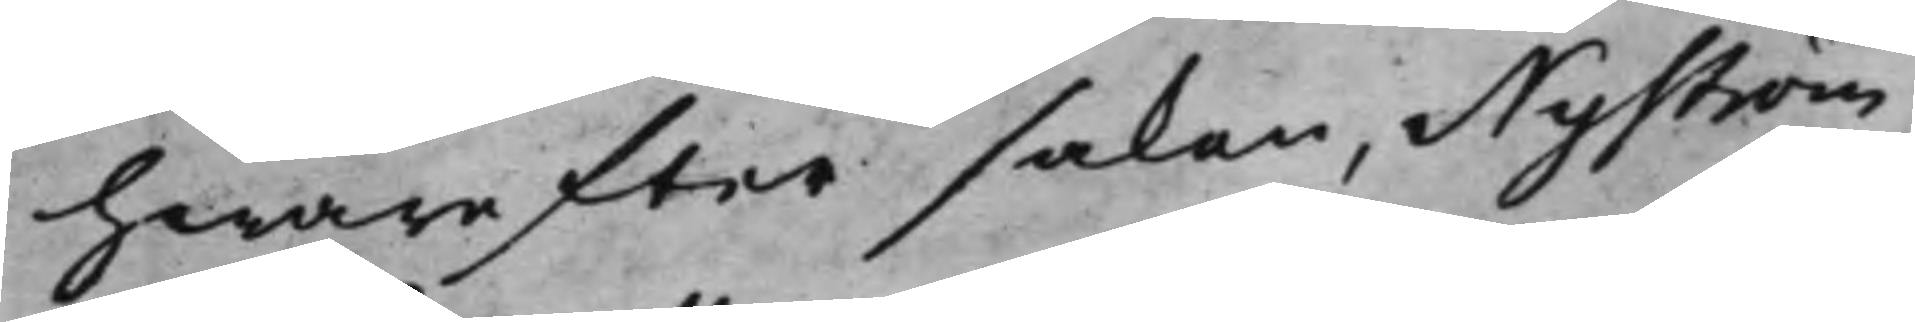hwarefter saken, Nyström
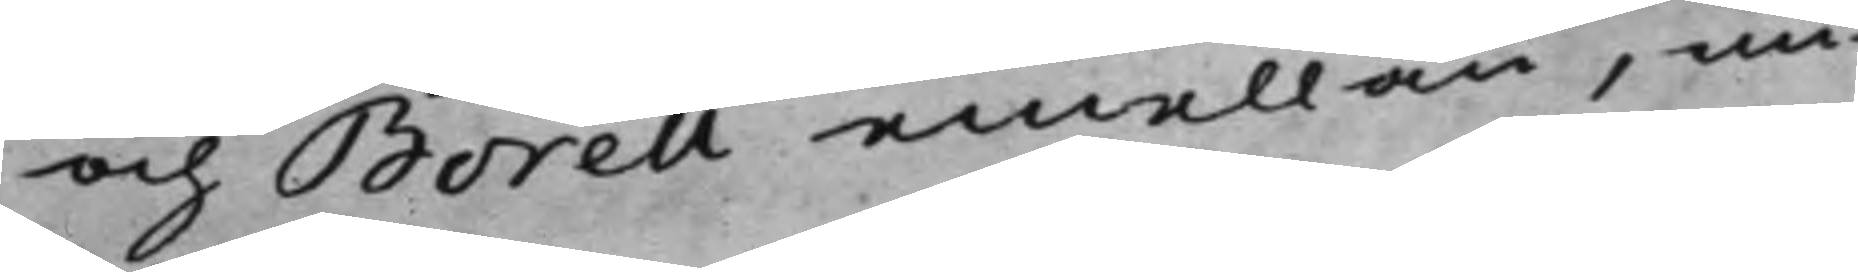och Borell emellan, un¬
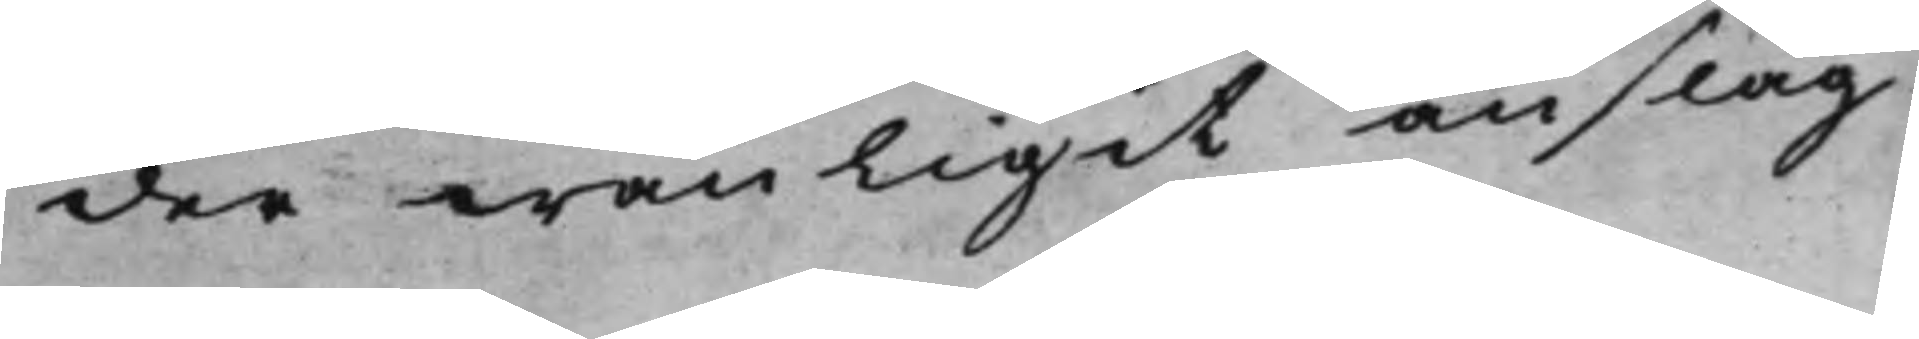der wanligit anslag.
